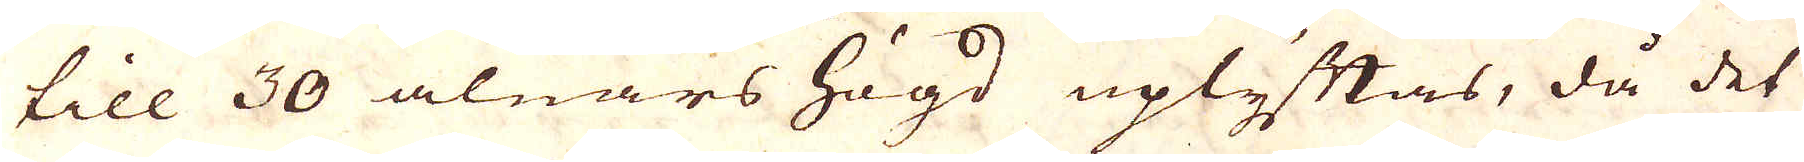till 30 alnars högd uplyftas, då det
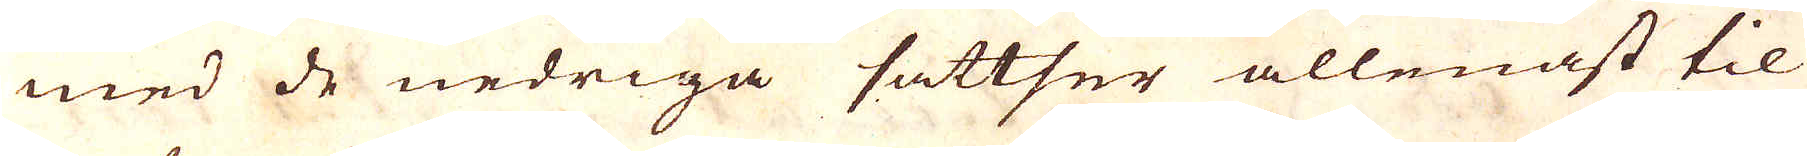med de nedriga sattser allenast til
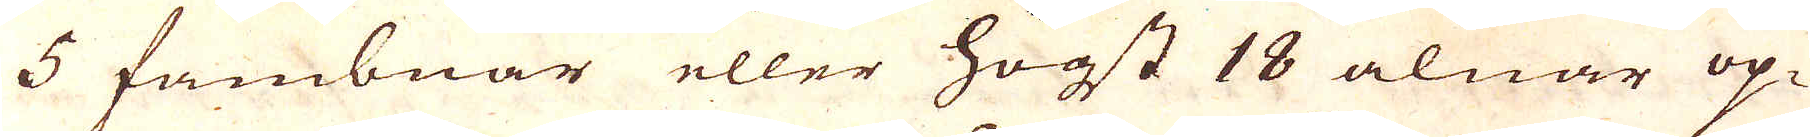5 fambnar eller högst 18 alnar op-
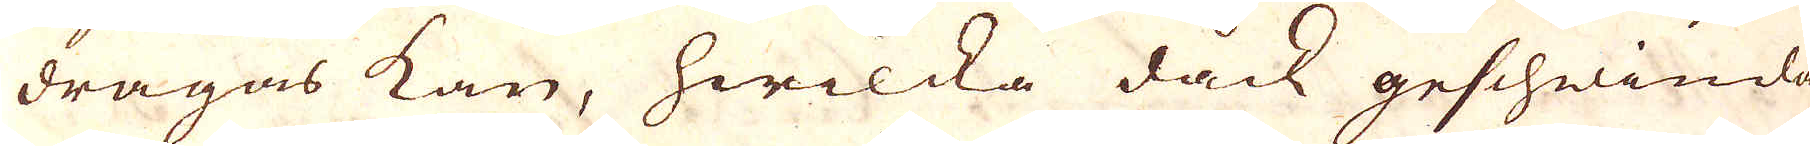dragas kan, hwilcka dock gescheinda-
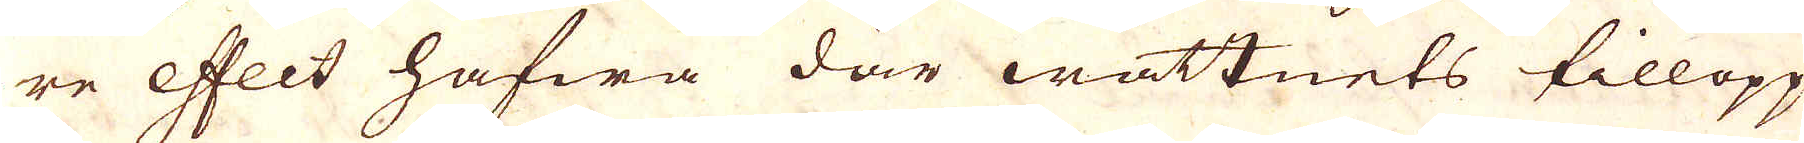re effect hafwa där wattnets tillopp
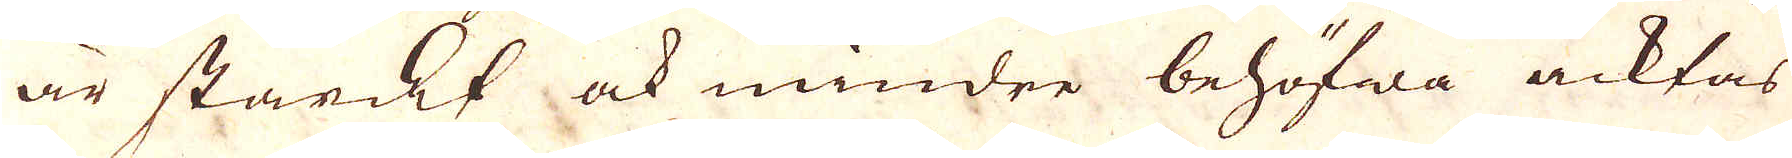är starkt ock mindre behöfwa acktas
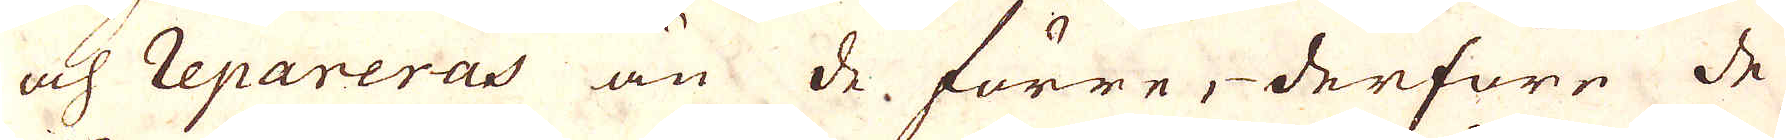och repareras än de förre, derföre de
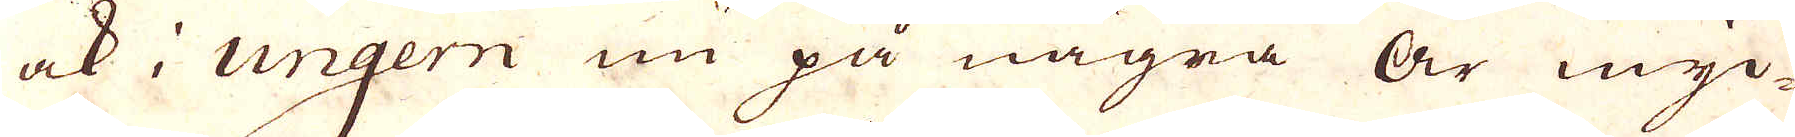ock i Ungern nu på några år myc-
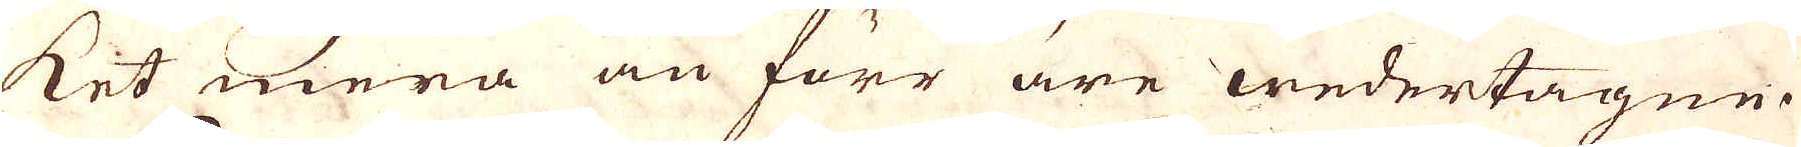ket mera än förr äre wedertagne.
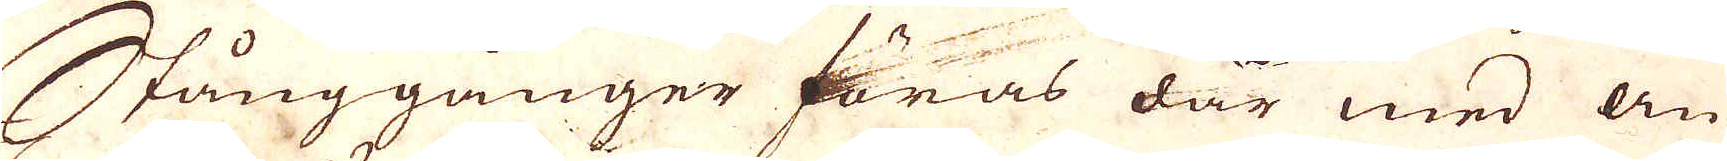Stånggånger föras där med än-
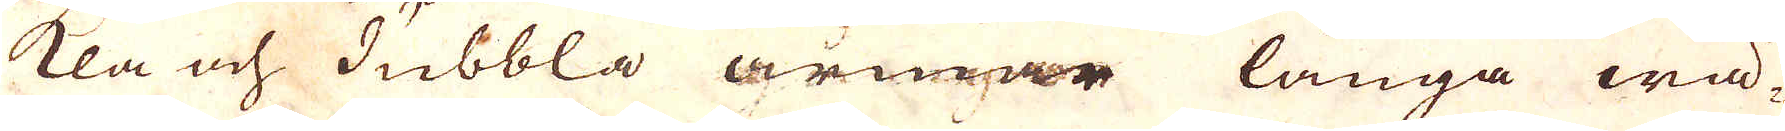kla och dubbla armar långa wä-
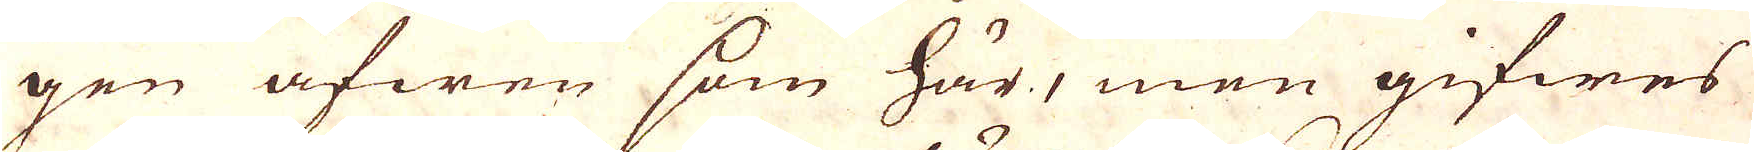gen äfwen som här, men gifwes
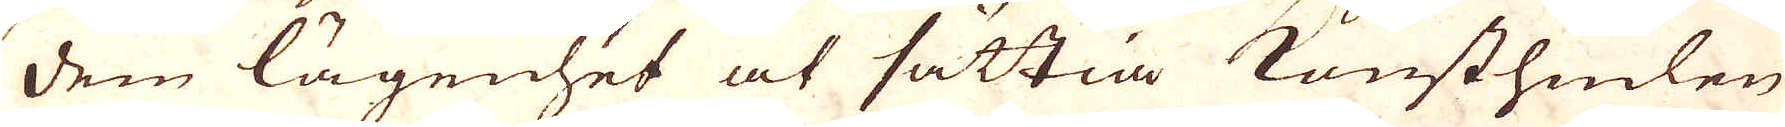dem lägenhet at sättia konsthiulen
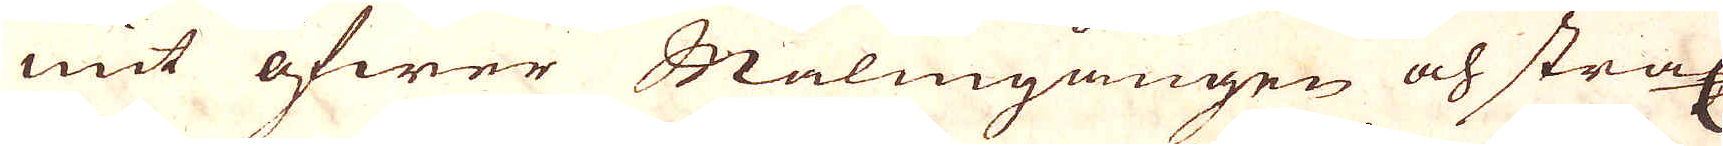mit öfwer Malmgången och strax
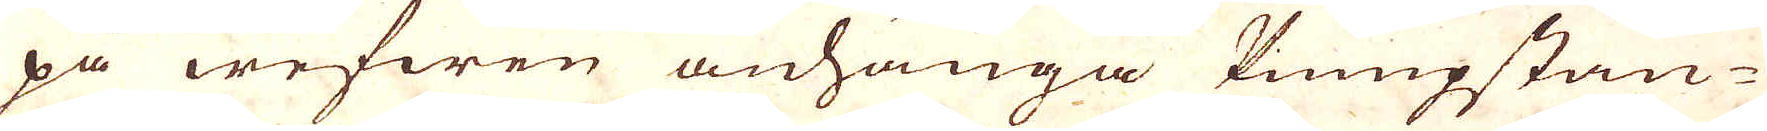på wefwen anhänga Kumpstän-
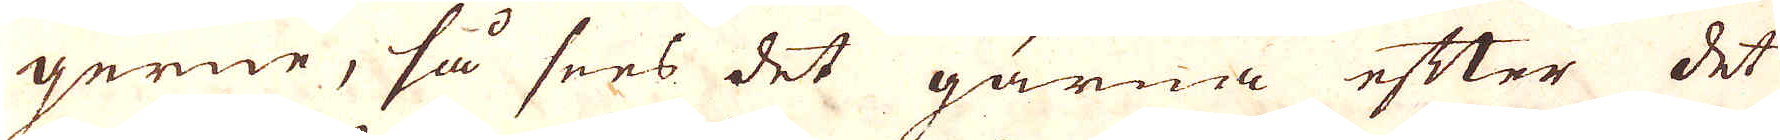gerne, så sees det gärna efter det
